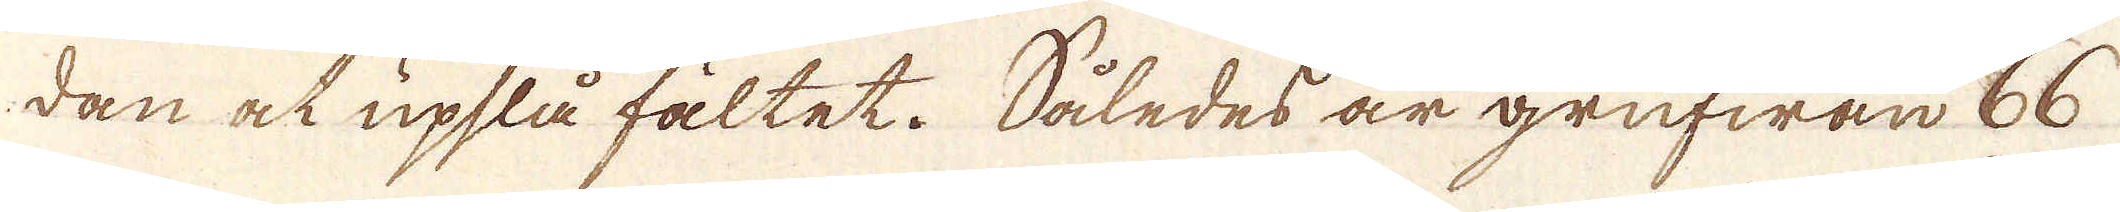dan och upslå fältet. Således är grufwan 66
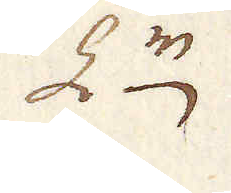L:r
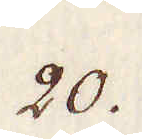20.
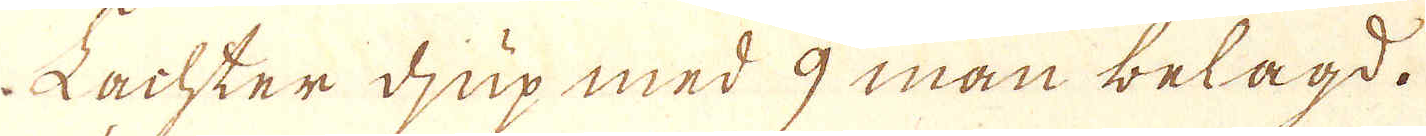Lachter djup med 9 man belagd.
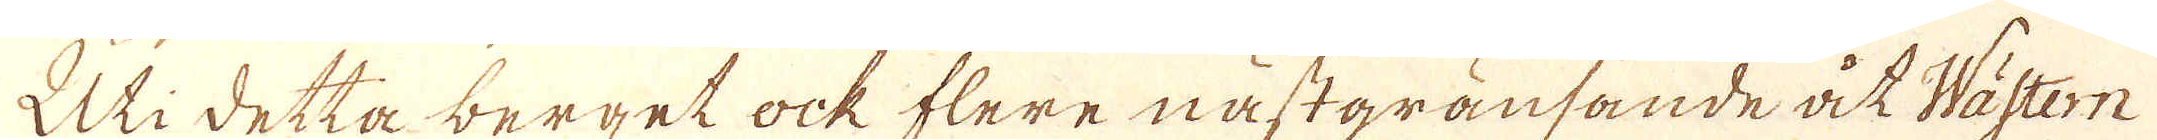Uti detta berget ock flere nästgränsande åt Wästern
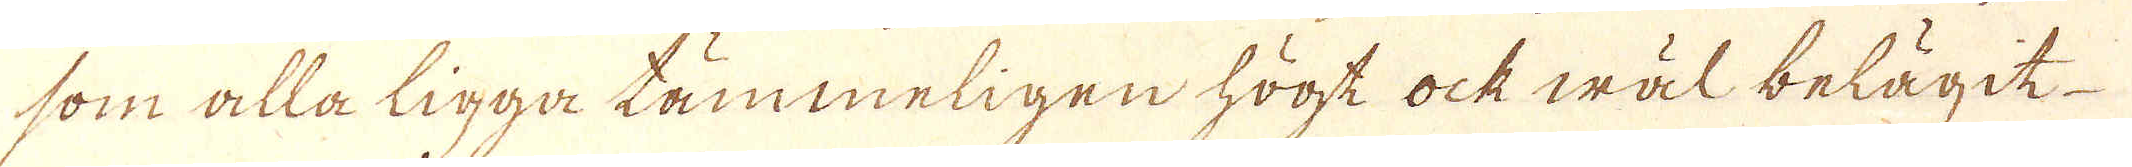som alla ligga tämmeligen högt ock wäl belägit
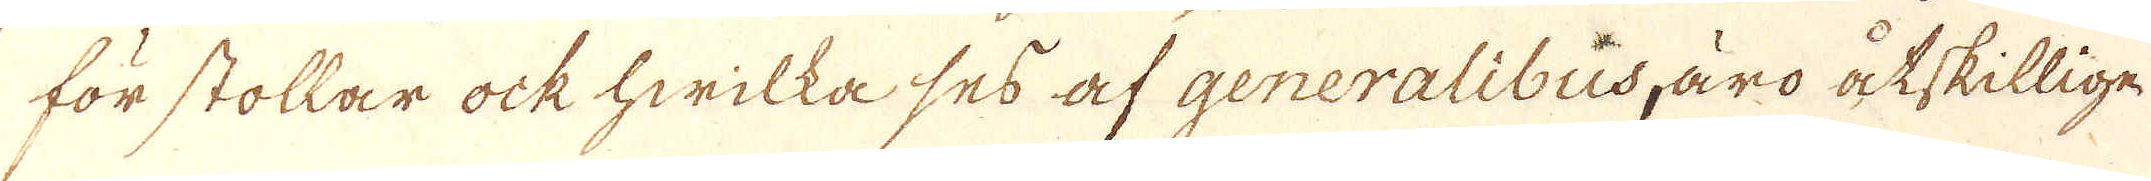för stollar ock hwilka ses af generalibus, äro åtskillige
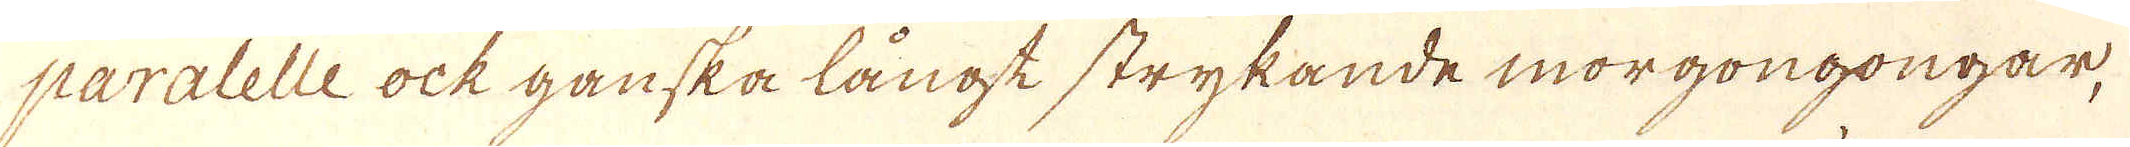paralelle ock ganska långt strykande morgongongar,
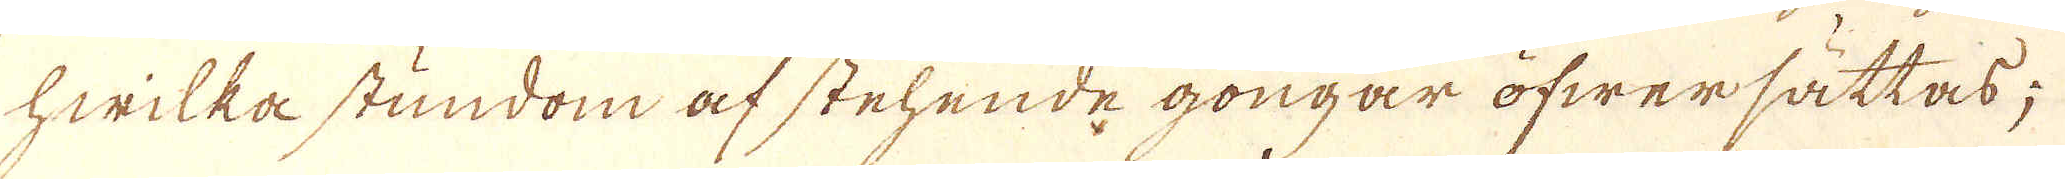hwilka stundom af stehende gongar öfwersättas;
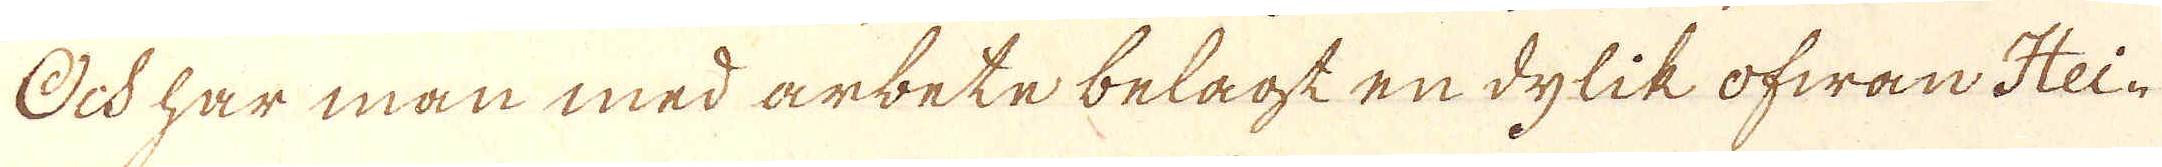Och har man med arbete belagt en dylik ofwan Hei-
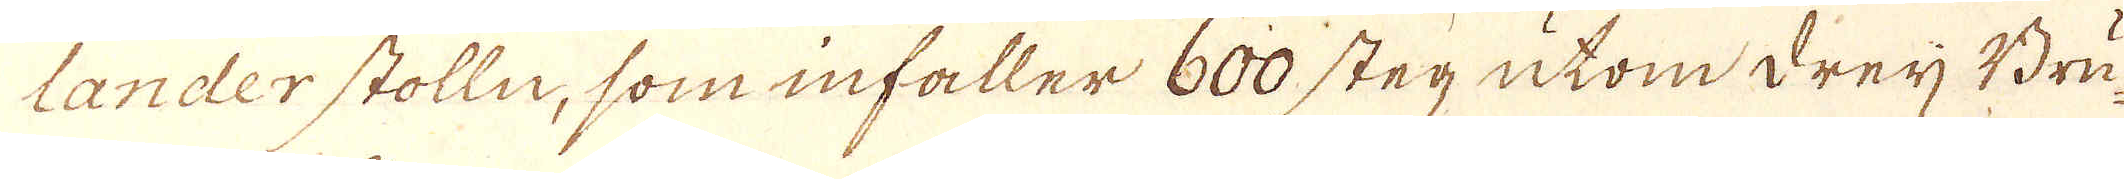lander stolln, som infaller 600 steg utom dreij Bru-
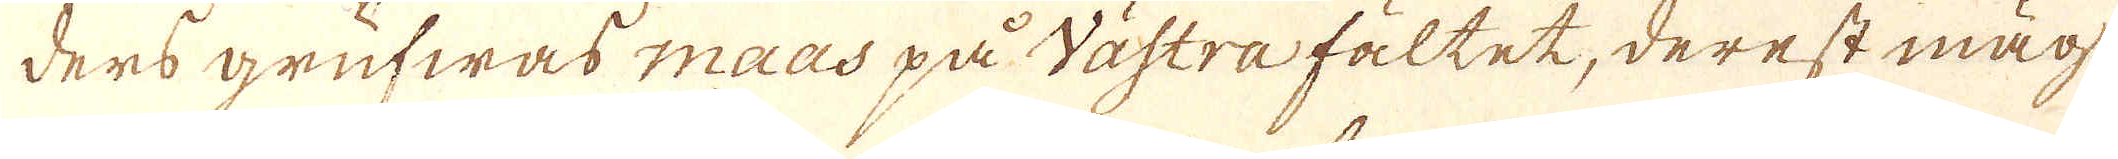ders grufwas maas på västra fältet, derest mäg-
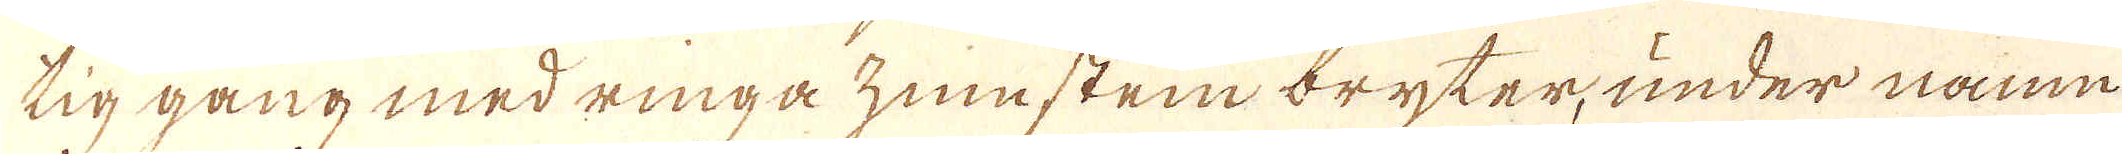tig gång med ringa zminstein bryter, under namn
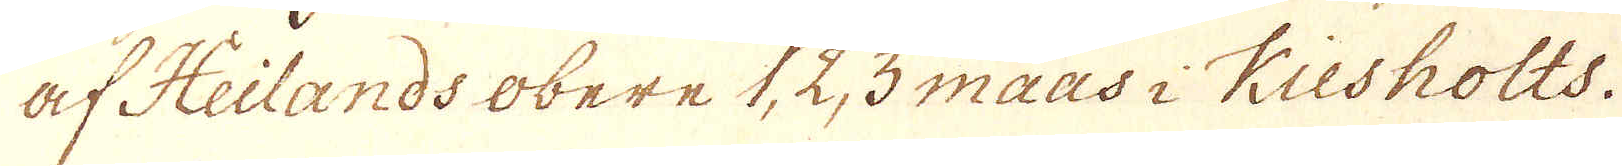af Heilands obere 1, 2, 3 maas i Kiesholts.
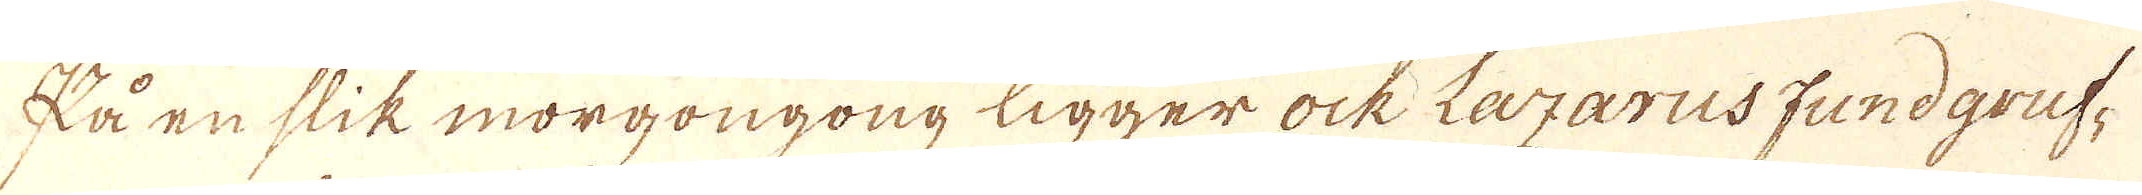På en slik morgongong ligger ock Lagarus fundgruf-
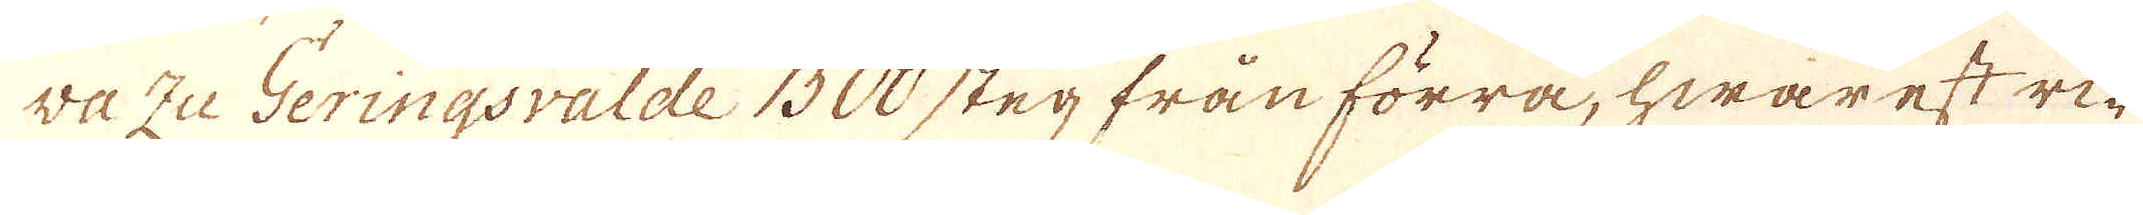va zu Geringsvalde 1500 steg från förra, hwarest ri-
